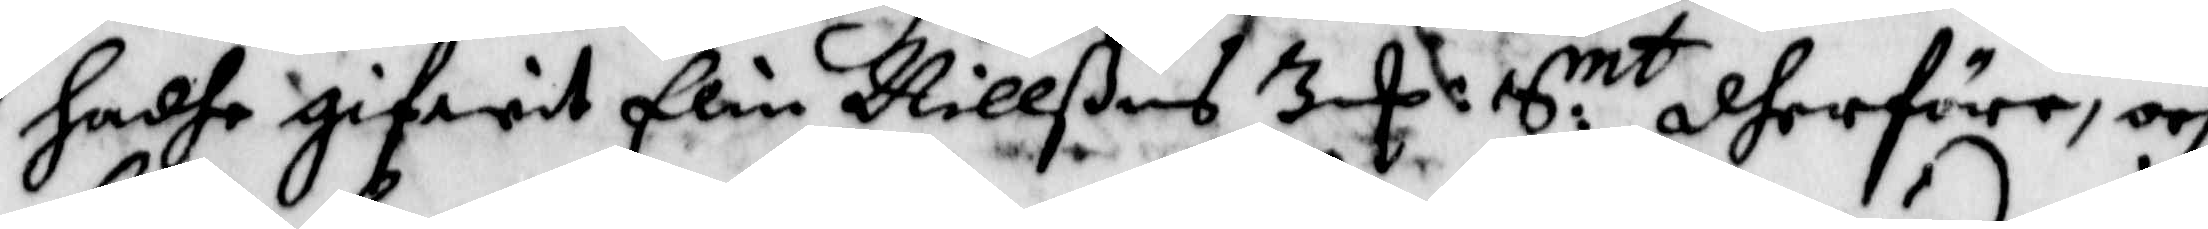hadhe gifwit Elin Nillßons 3 E S:mt dherföre, och
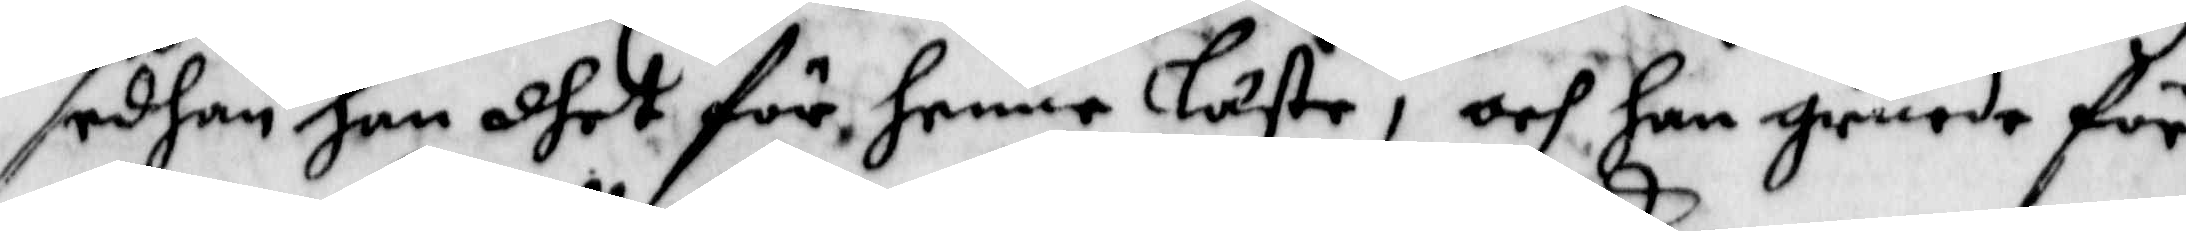sedhan han dhet för henne Läste, och han gruede för
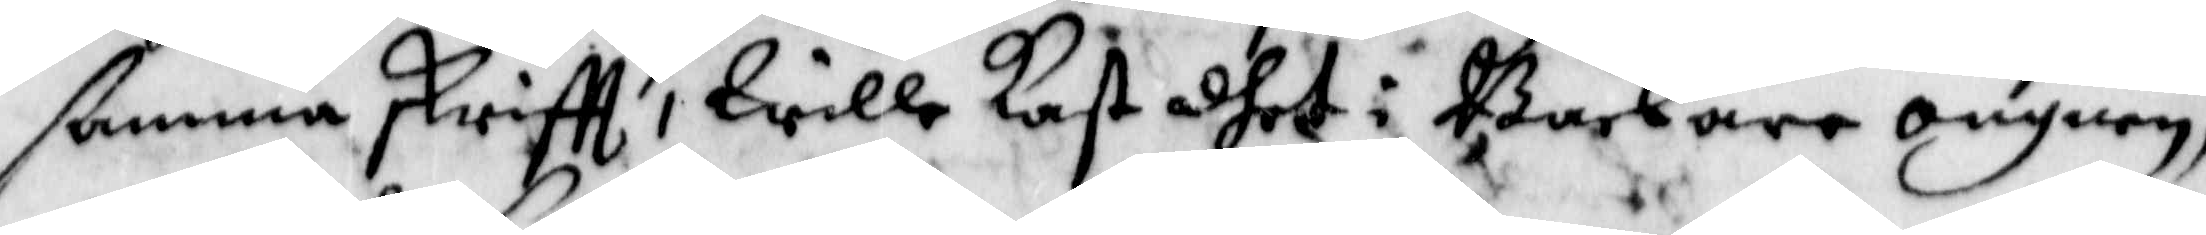ßamma skrifft, Wille Kast dhet i backare ongnen,
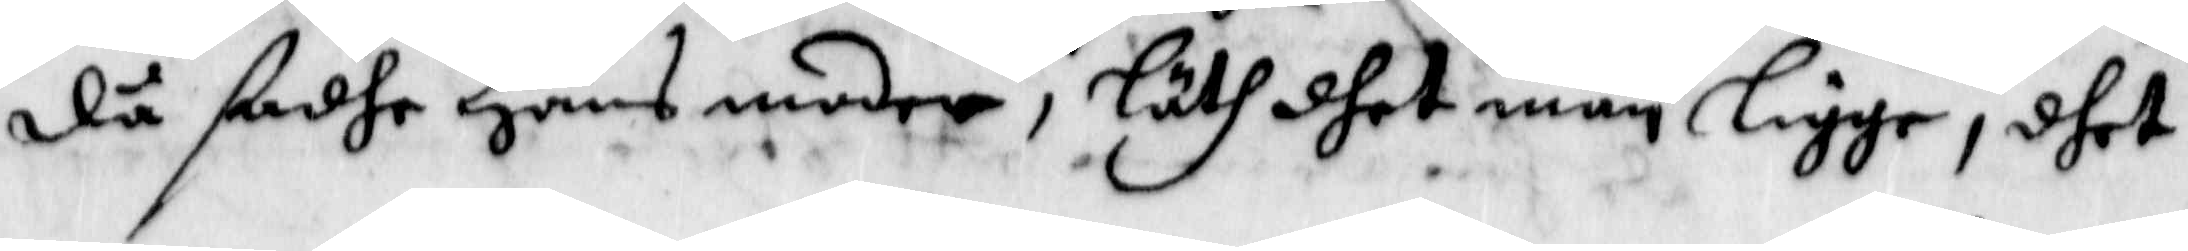då ßadhe Hans moder, Läth dhet man ligge, dhet
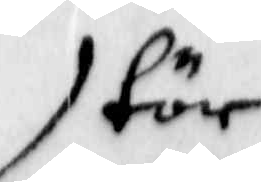tör
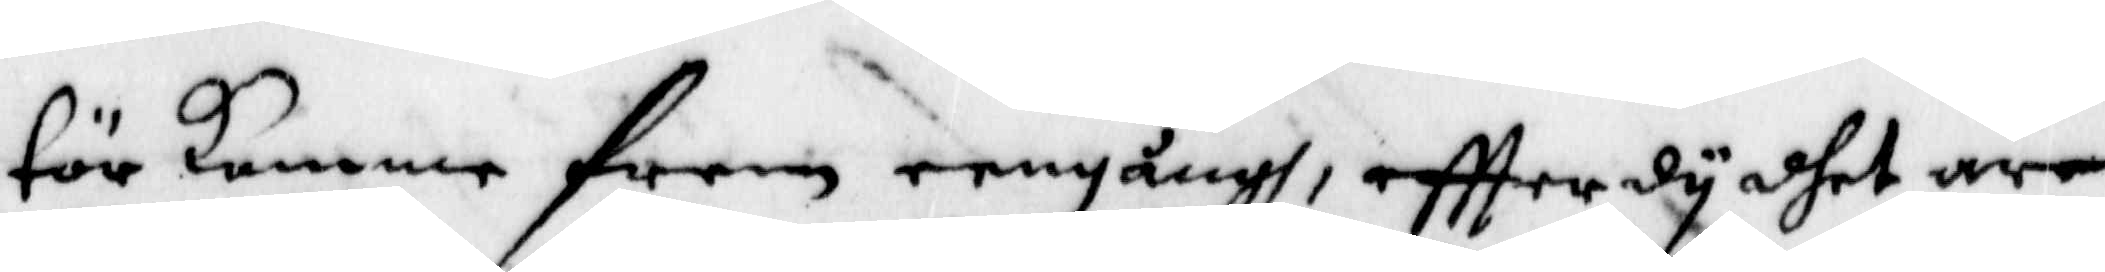För kommer Fram eengångh, eftter dy dhet äre
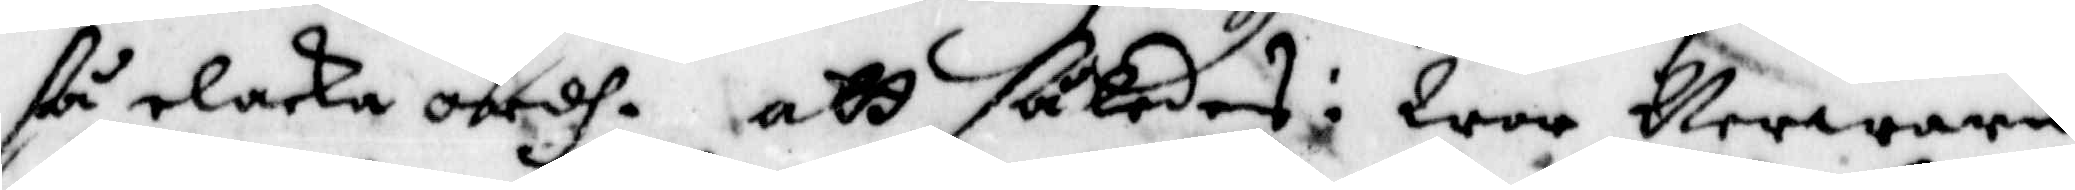ßå elaka ordh. att således: War Nerwaru
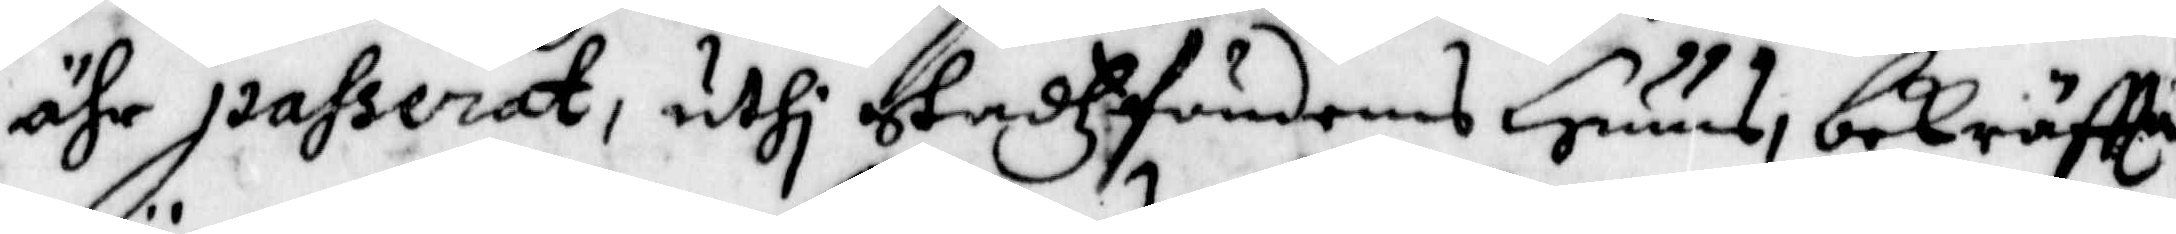ähr passerat, uthi Stadzfougdens Huus, bekräftta
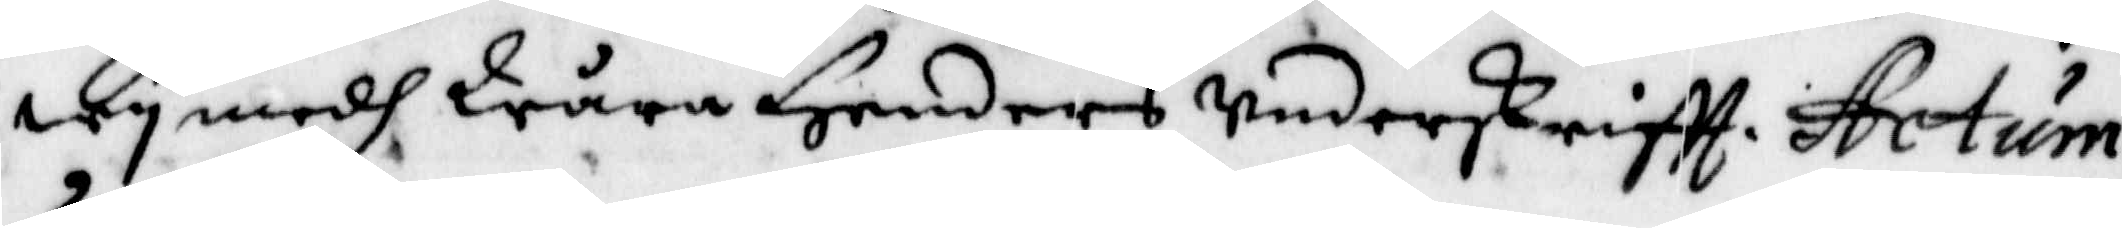wy medh Wåra Henders Underskriftt. Actum
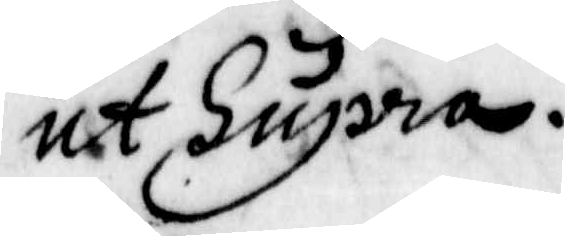ut Supra.
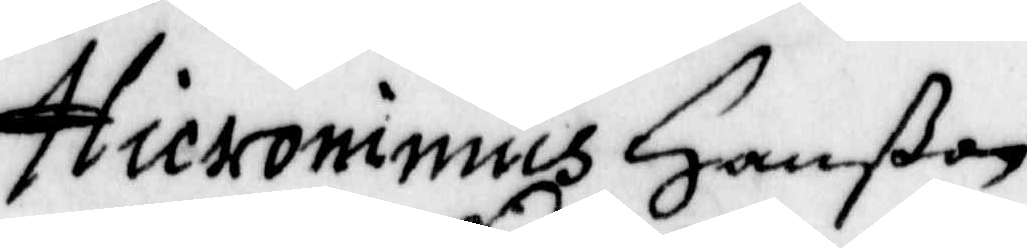Hicronimus Hanßon
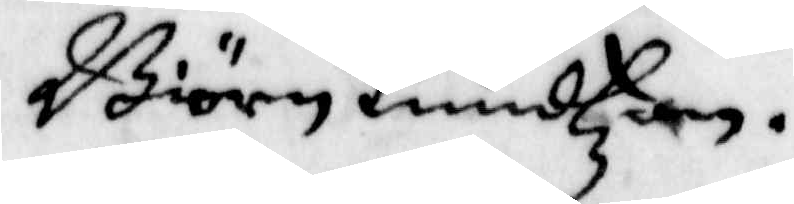Biörn Knudtzon
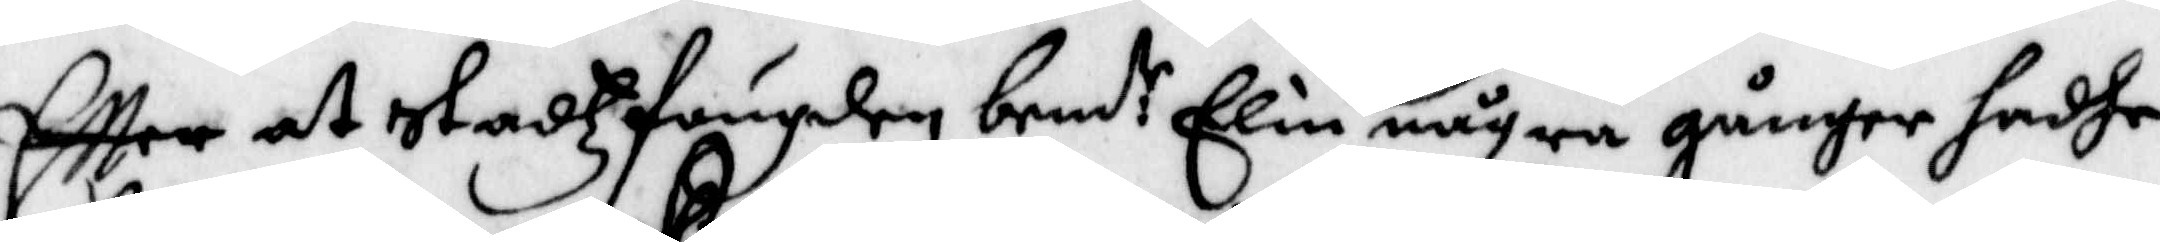Eftter at Stadzfougden bend:te Elin några gånger hadhe
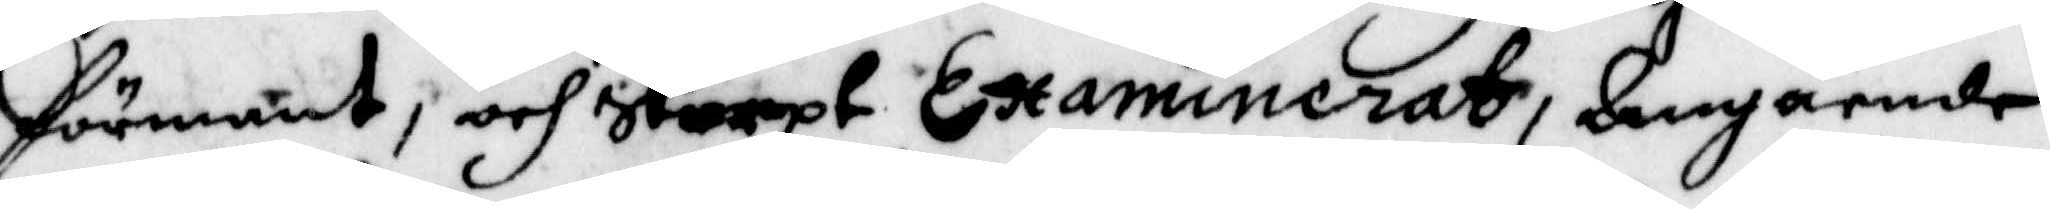Görmant, och Skarpt Examinerat, Angående
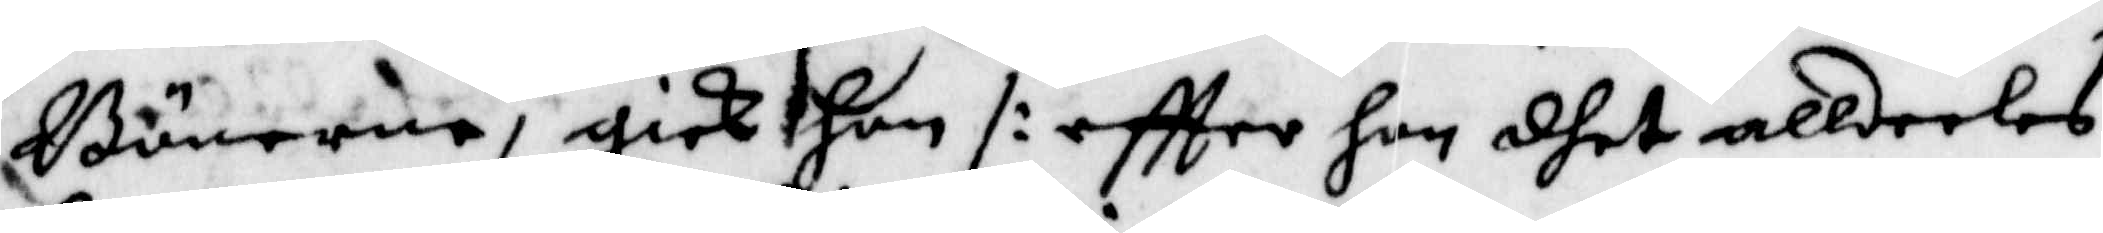Bönerne, gick hon /: eftter hon dhet alldeeles
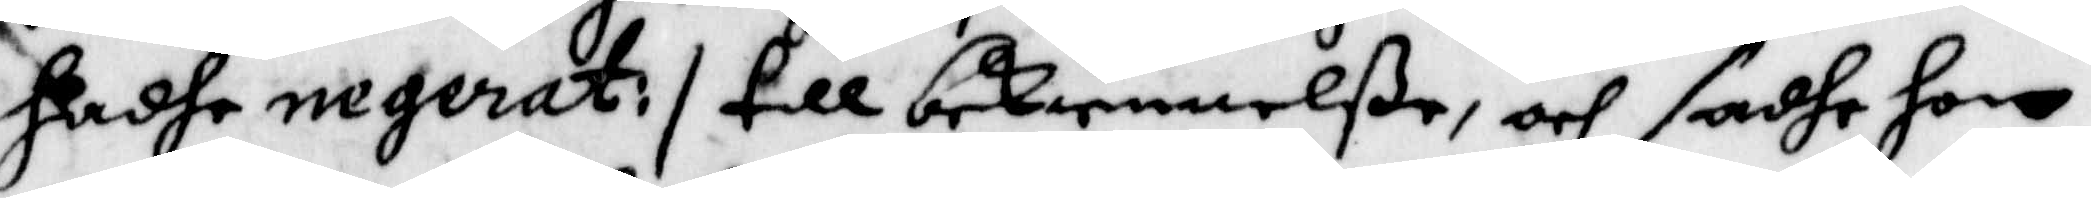hadhe negerat :/ till bekiennelße, och sadhe hon
